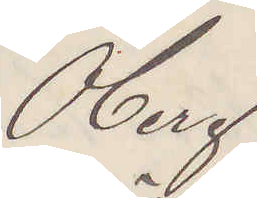Öberg
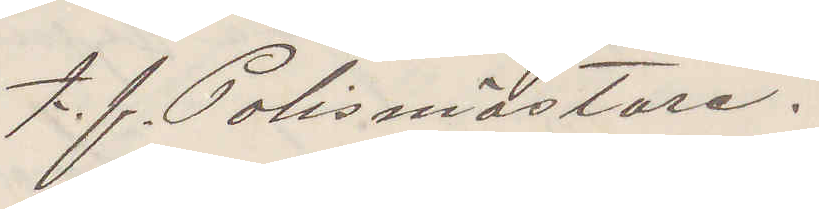t. f. Polismästare.
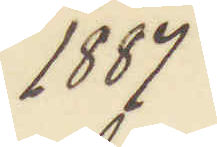1887
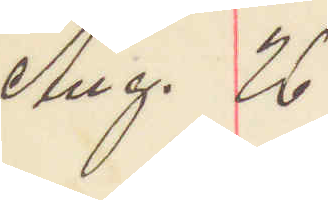Aug. 26
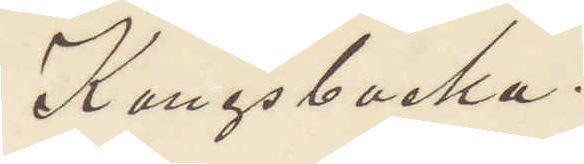Kungsbacka.
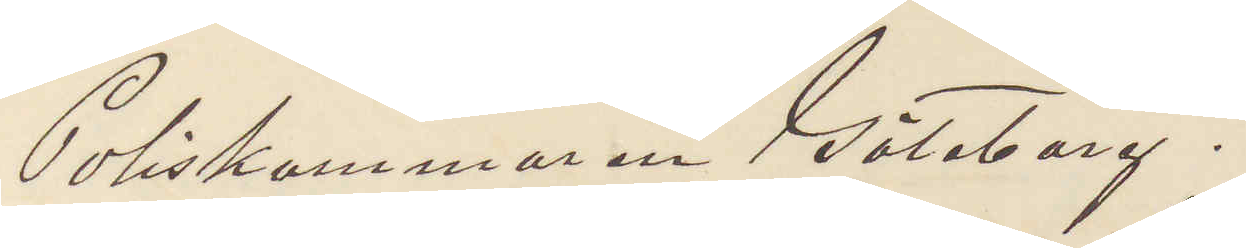Poliskammaren Göteborg.
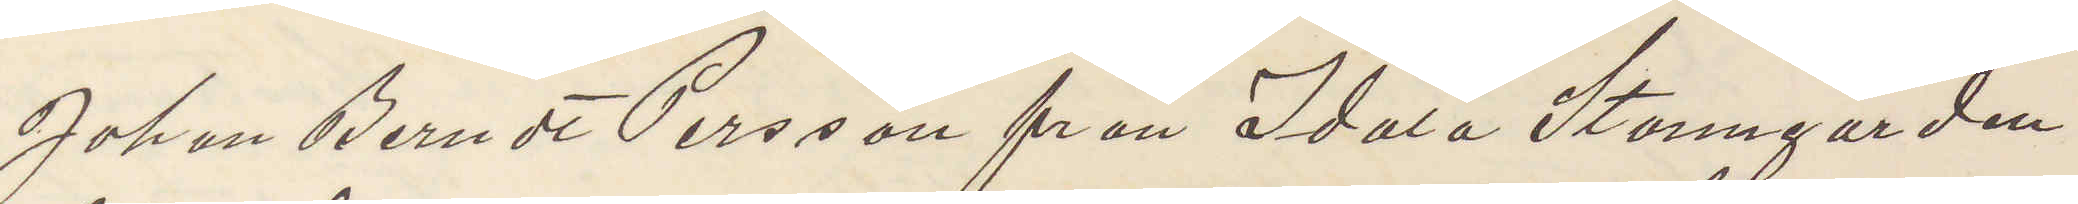Johan Berndt Persson från Idala Stanngården
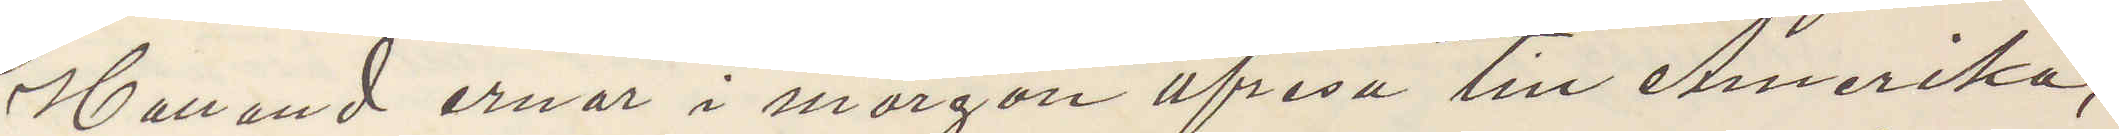Halland ernar i morgon afresa till Amerika,
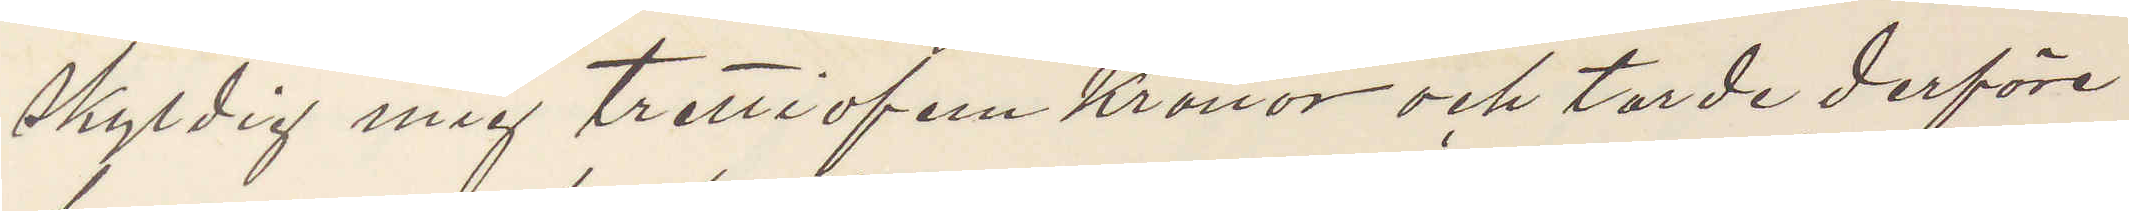skyldig mig trettiofem Kronor och torde derföre
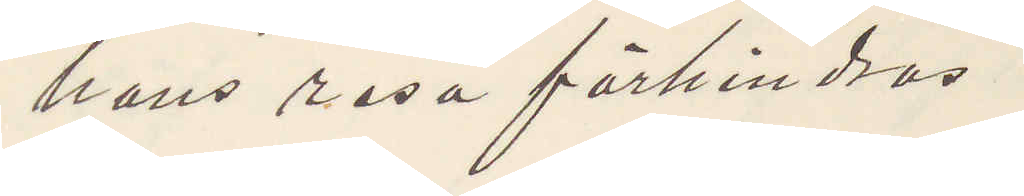hans resa förhindras.
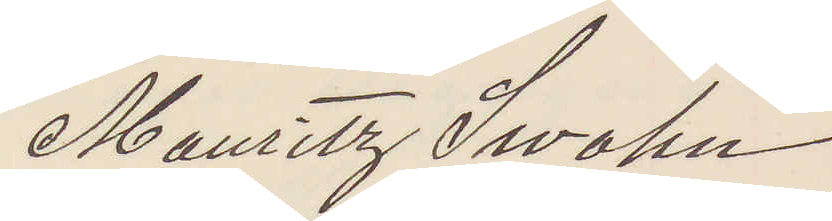Mauritz Swahn
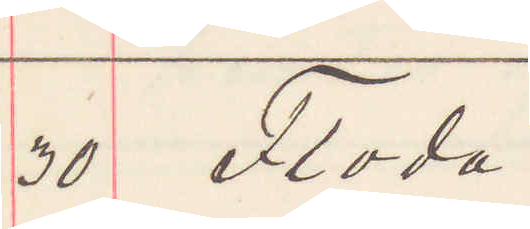30 Floda.
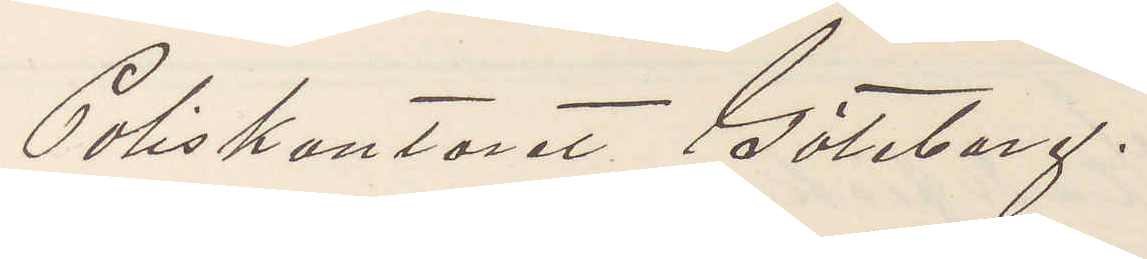Poliskontoret Göteborg.
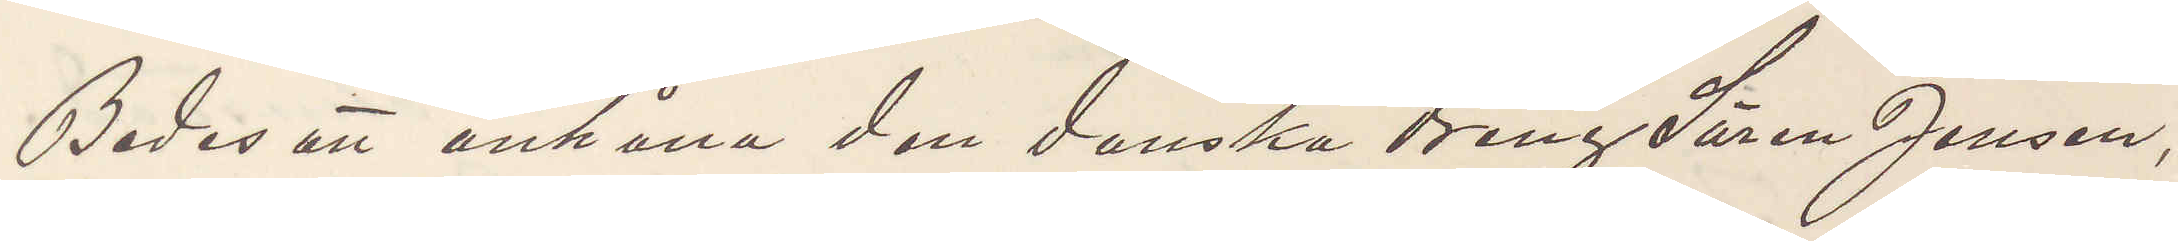Bedes att anhålla den danska dreng Sören Jensen,
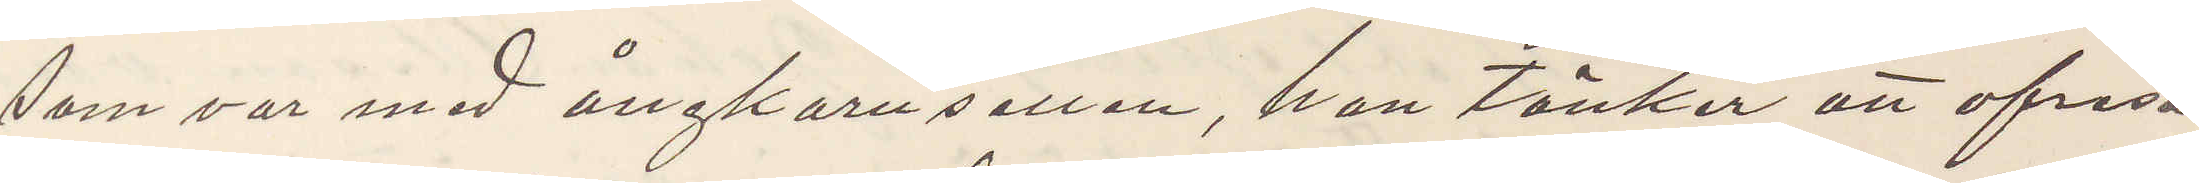som var med ångkarusellen, han tänker att afresa
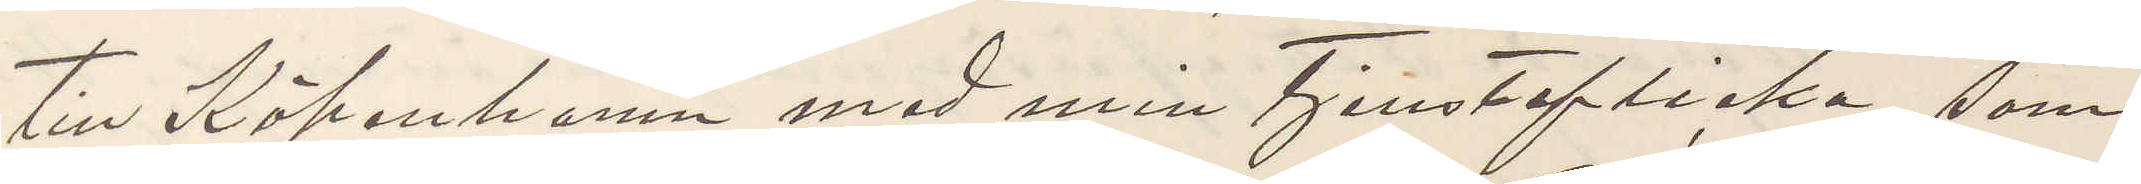till Köpenhamn med min tjensteflicka, som
